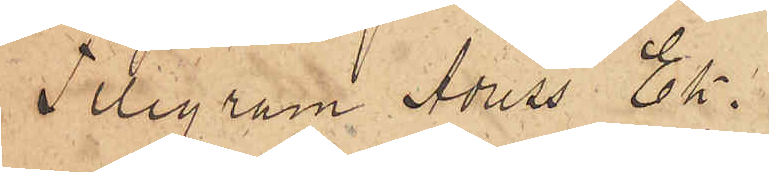Telegram Adress Ek.
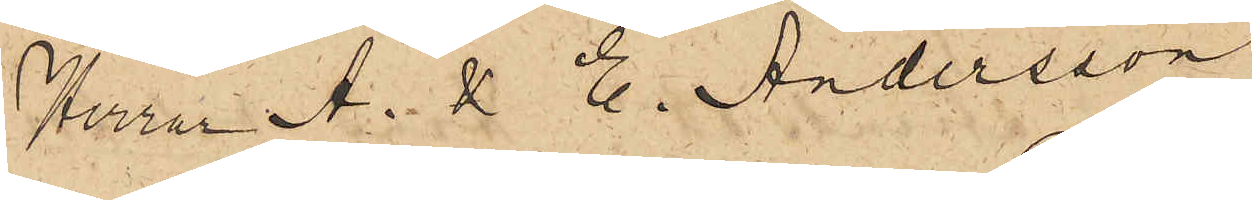Herrar A. &. E. Andersson
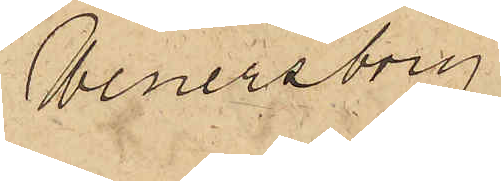Wenersborg.
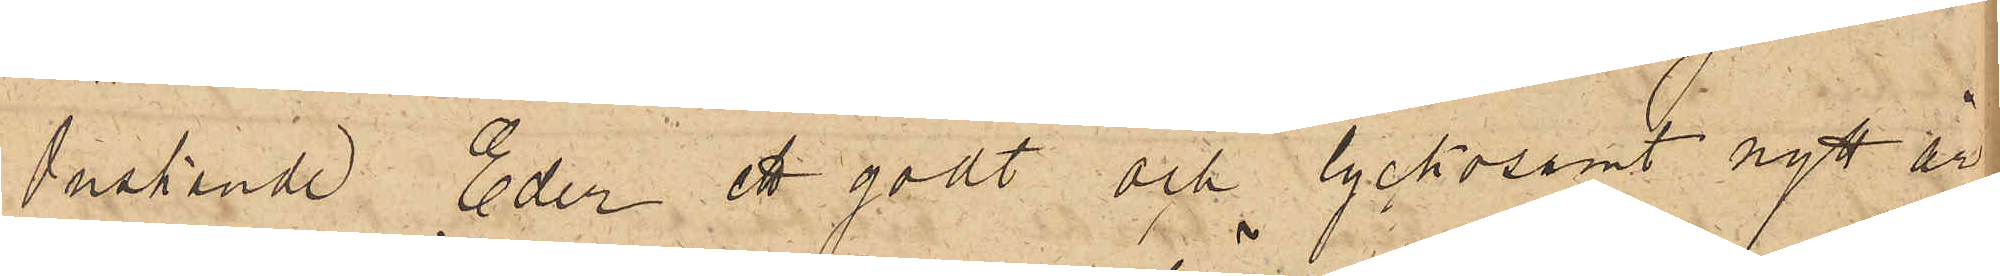Önskande Eder ett godt och lyckosamt nytt år
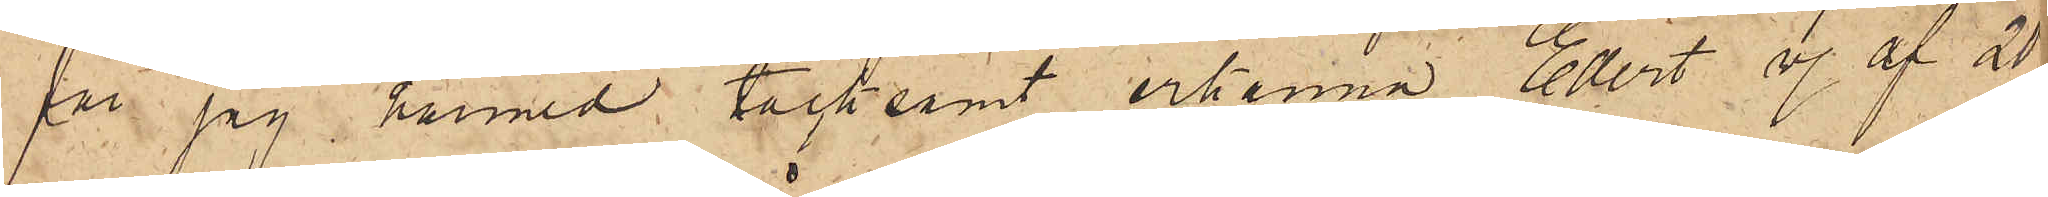får jag härmed tacksamt erkänna Edert v. af 20
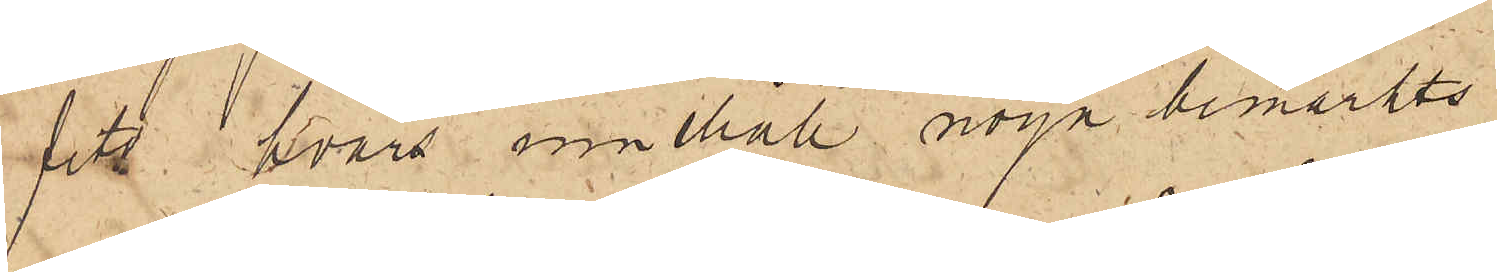fts hvars innehåll noga bemärkts.
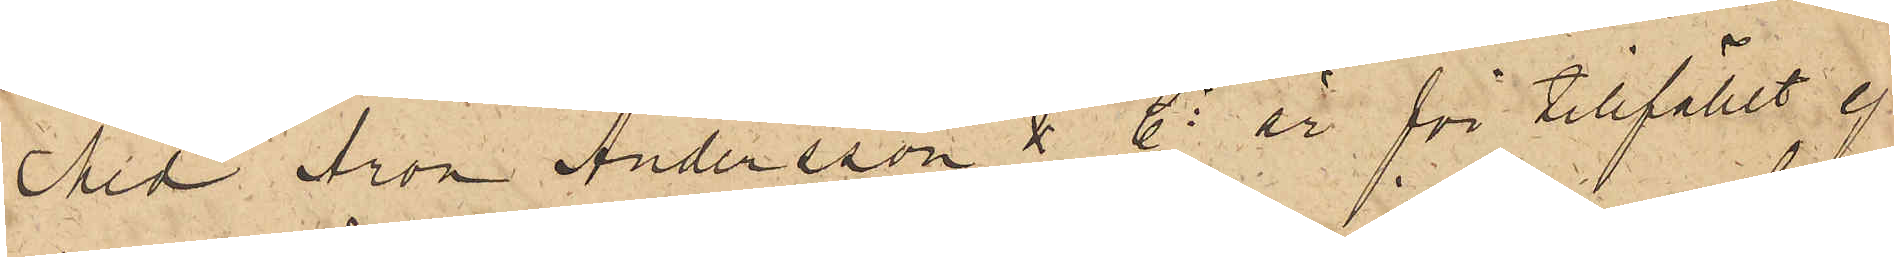Med Aron Andersson & Co är för tillfället ej
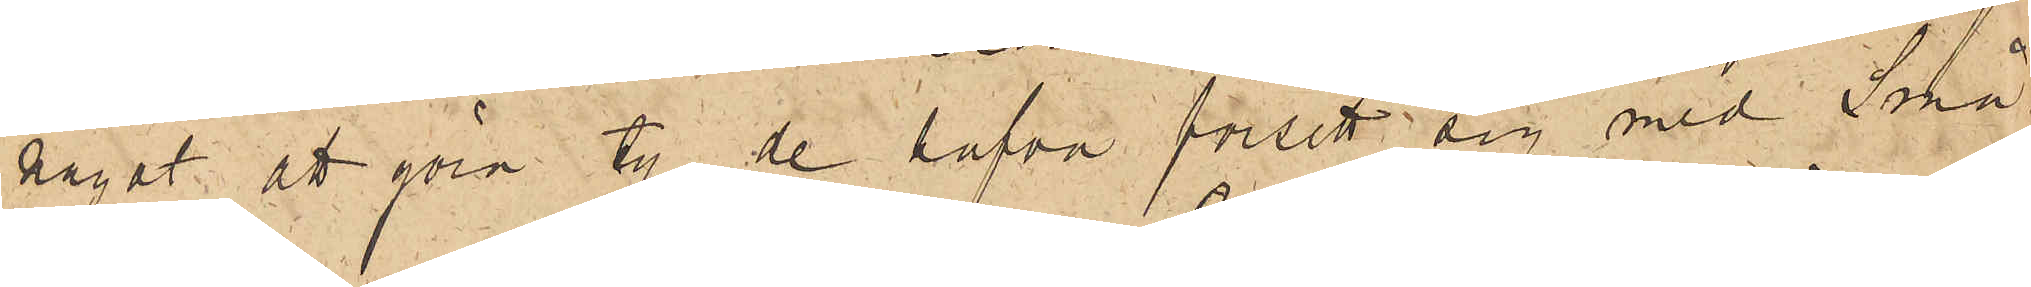något att göra ty de hafva försett sig med Små¬
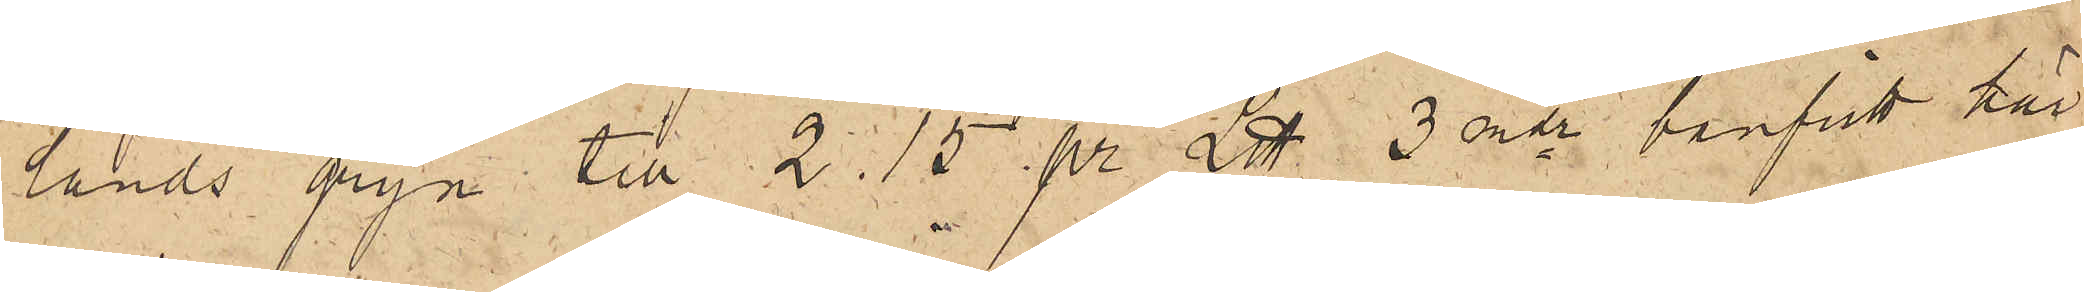landsgryn till 2.15 pr L℔ 3 mdr banfritt här.
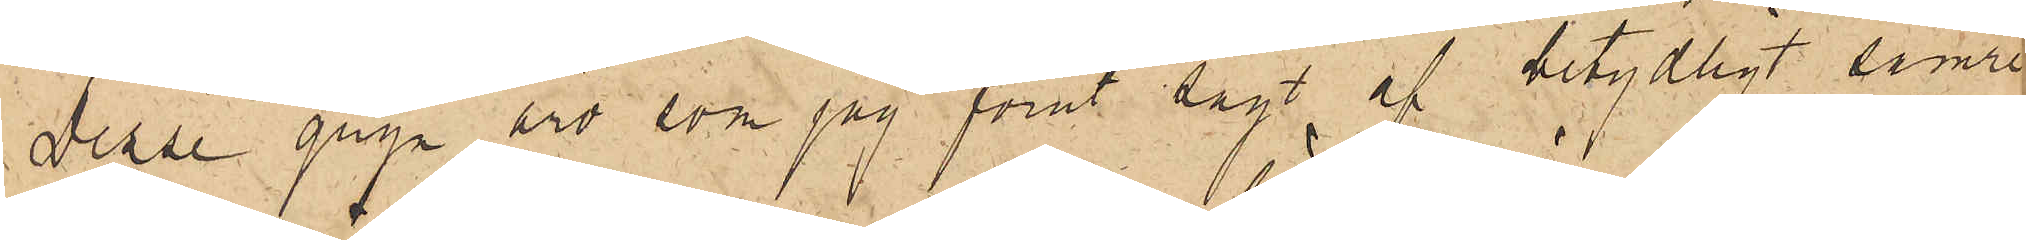Dessa gryn äro som jag förut sagt af betydligt sämre
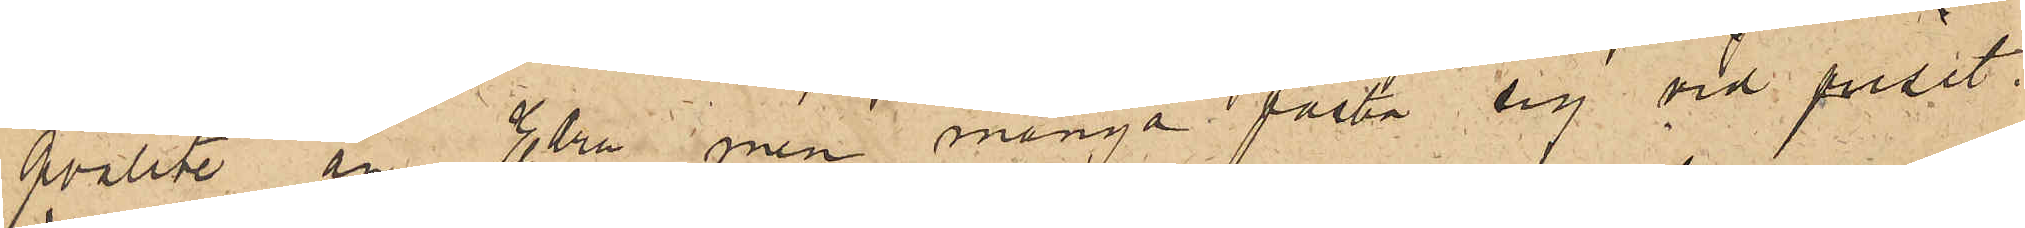qvalite än Edra men många fästa sig vid priset.
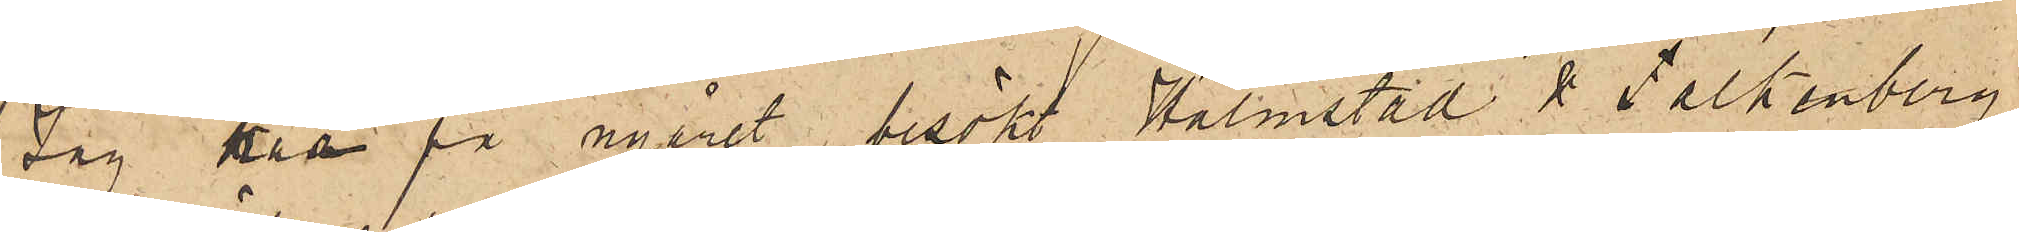Jag har på nyåret besökt Halmstad & Falkenberg
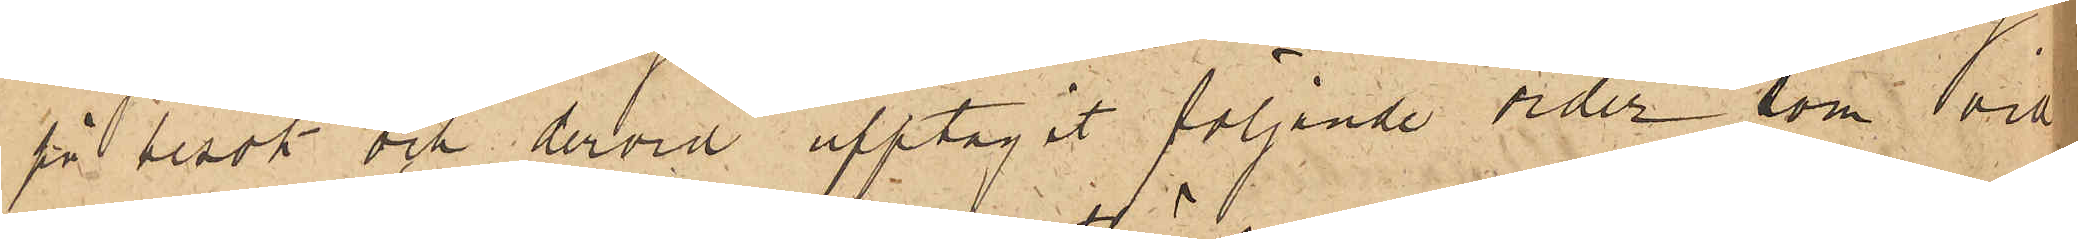på besök och dervid upptagit följande order som vid
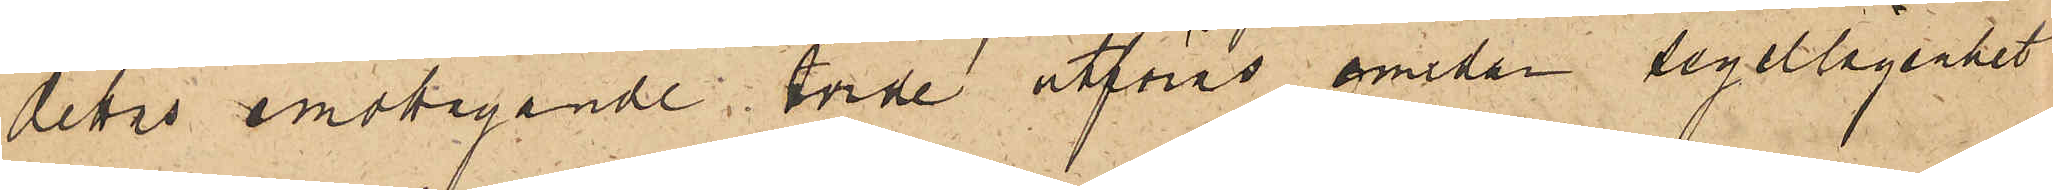dettas emottagande torde utföras emedan segellägenhet
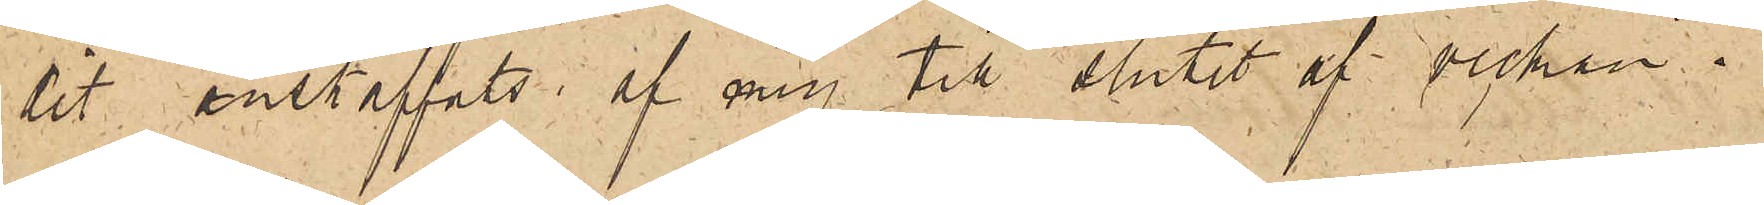dit anskaffats af mig till slutet af veckan.
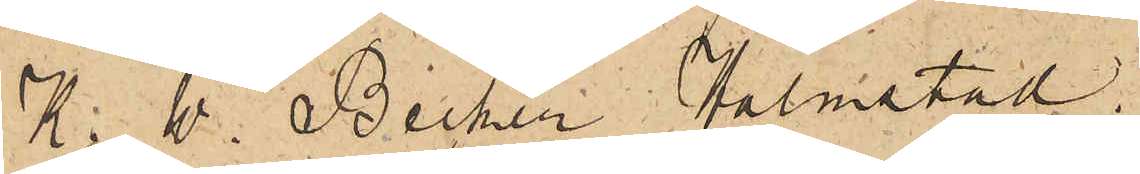K.W. Becker Halmstad
